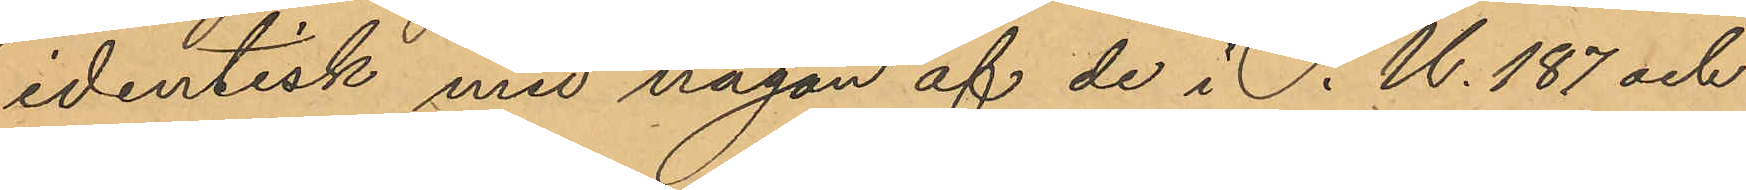identisk med någon af de i P.U. 187 och
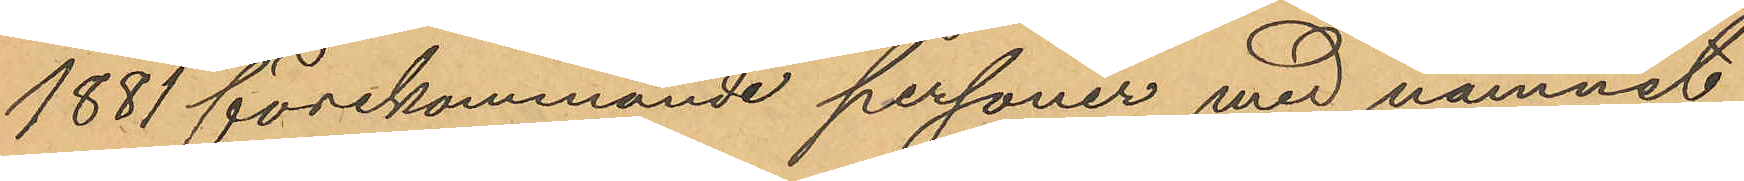1881 förekommande personer med namnet
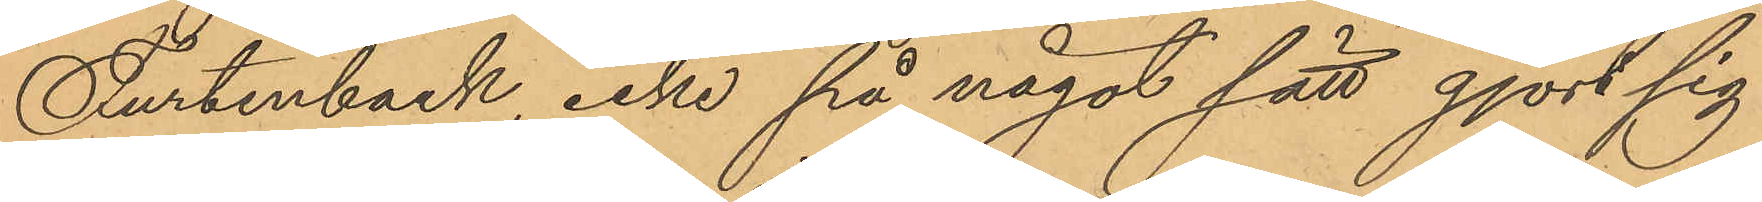Furtenback, icke på något sätt gjort sig
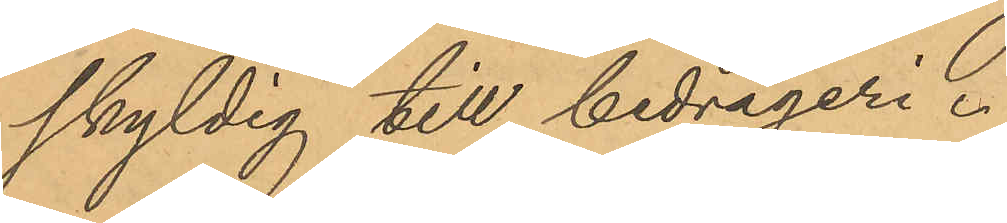skyldig till bedrägeri.
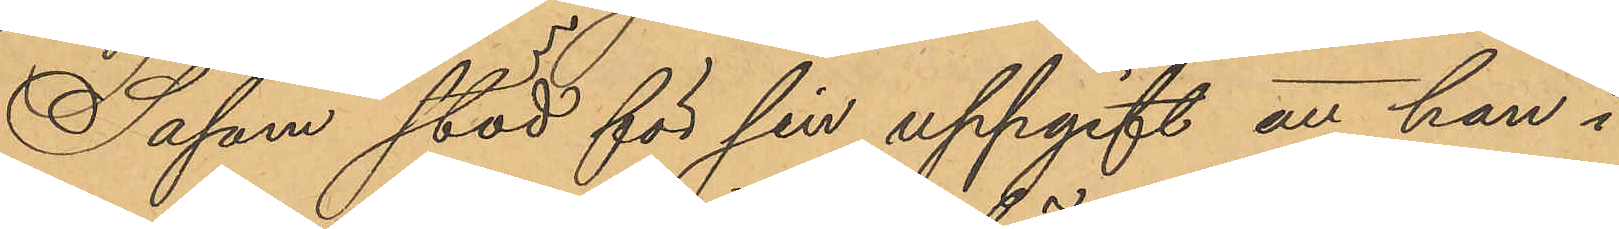Såsom stöd för sin uppgift att han i
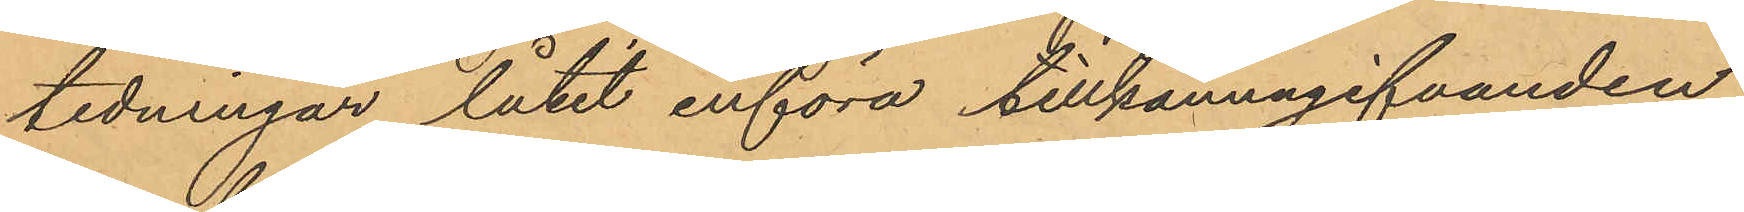tidningar låtit införa tillkännagifvanden
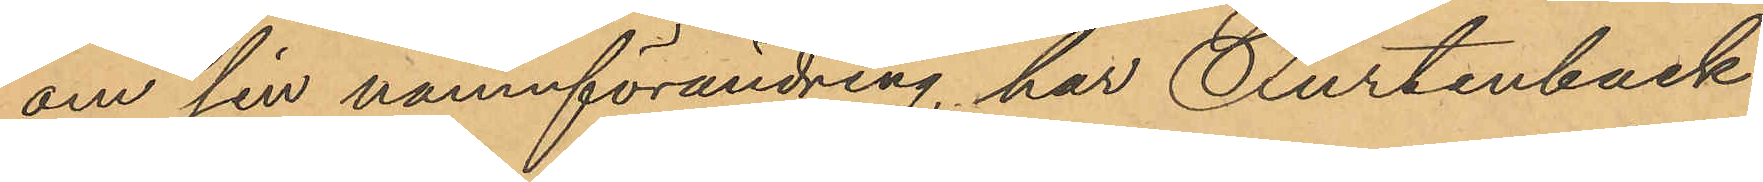om sin namnförändring, har Furtenback
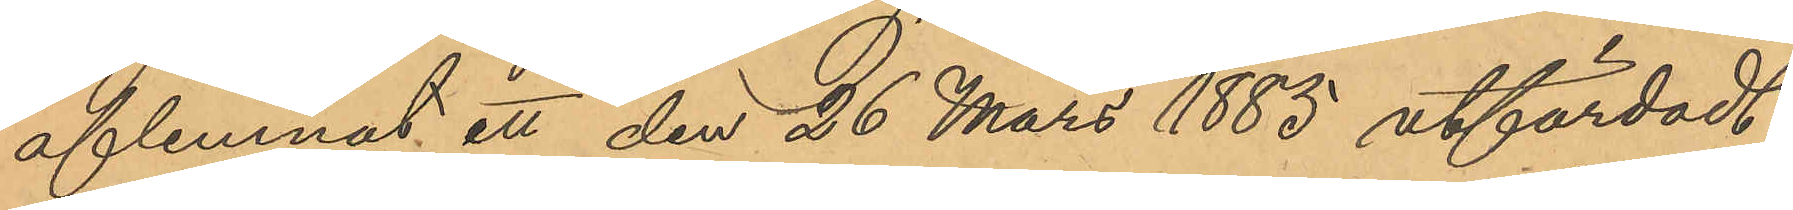aflemnat ett den 26 Mars 1885 utfärdadt
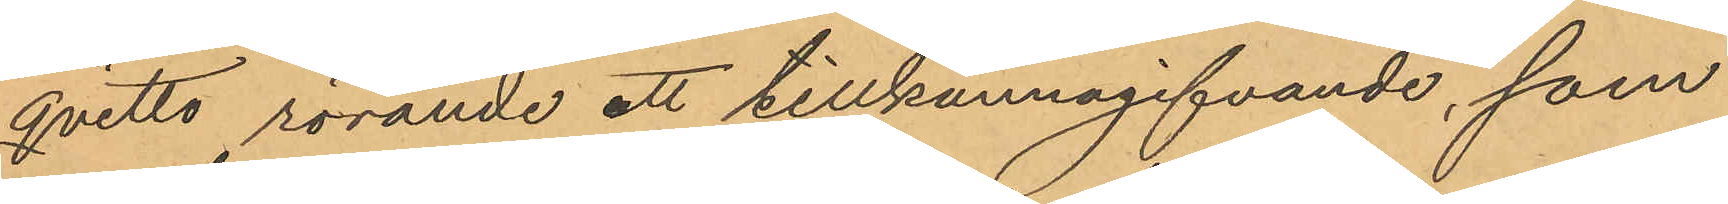qvitto rörande ett tillkännagifvande, som
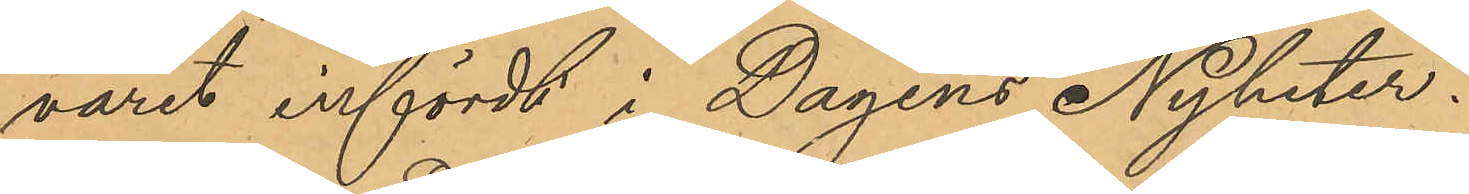varit infördt i Dagens Nyheter.
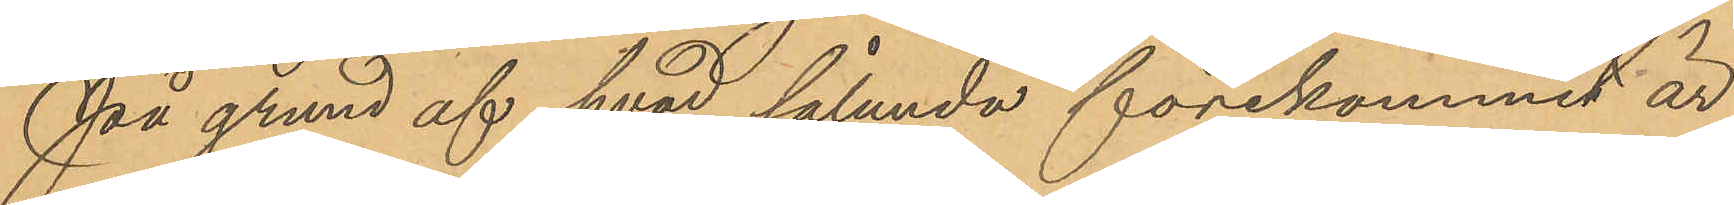På grund af hvad sålunda förekommit är
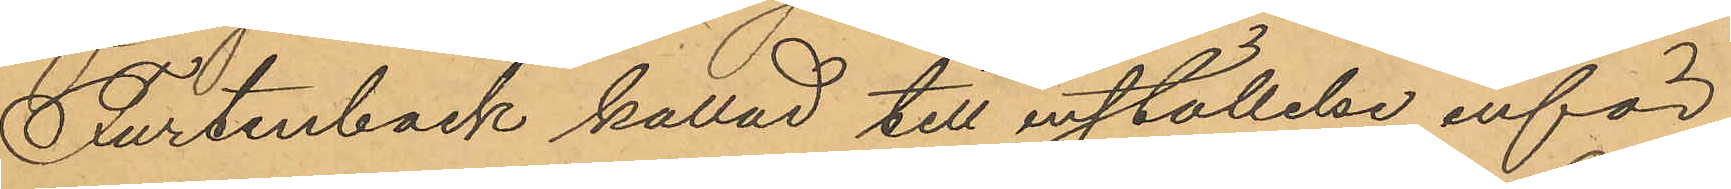Furtenback kallad till inställelse inför
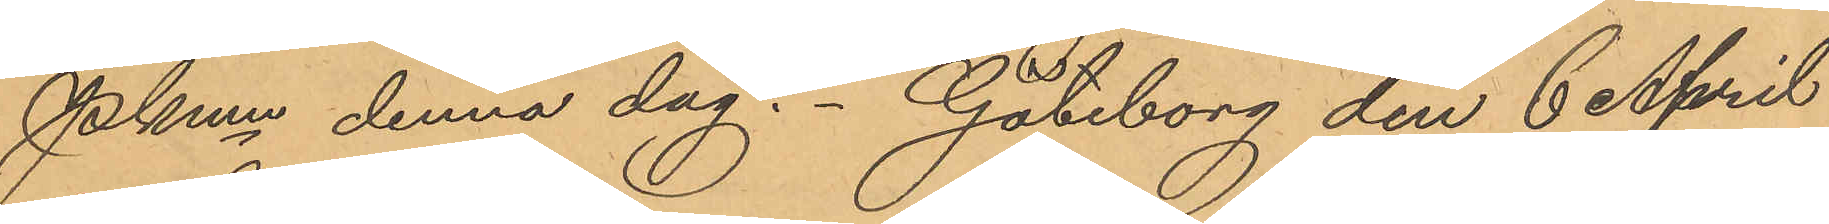Pkmn denna dag. Göteborg den 6 April
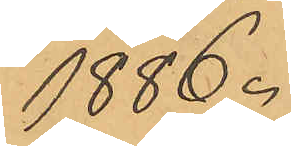1886.
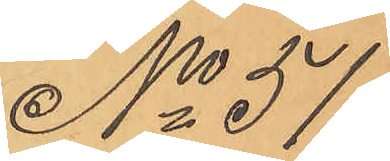No 51
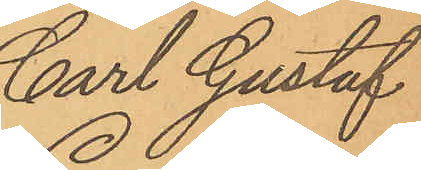Carl Gustaf
